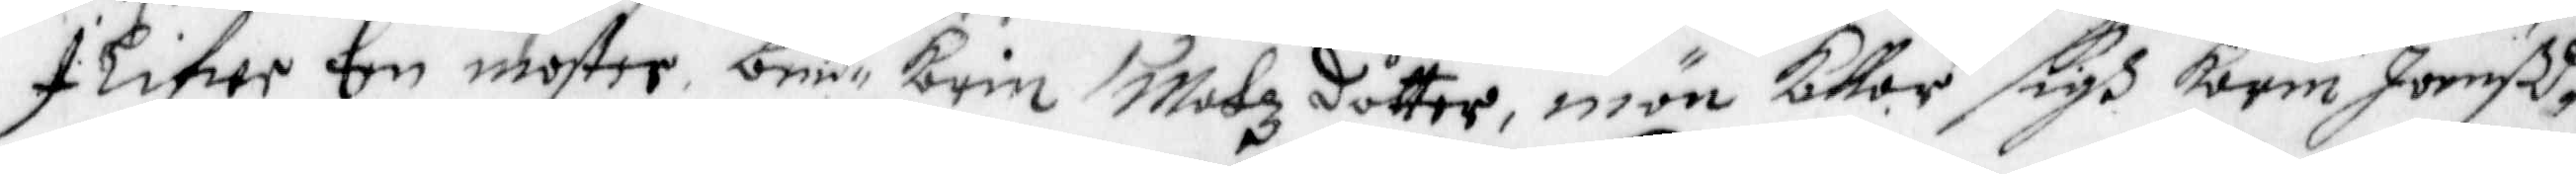I Lifwe Een moster be.d Karin Matzdotter, mön Kallar sigh Karin Joenßd.
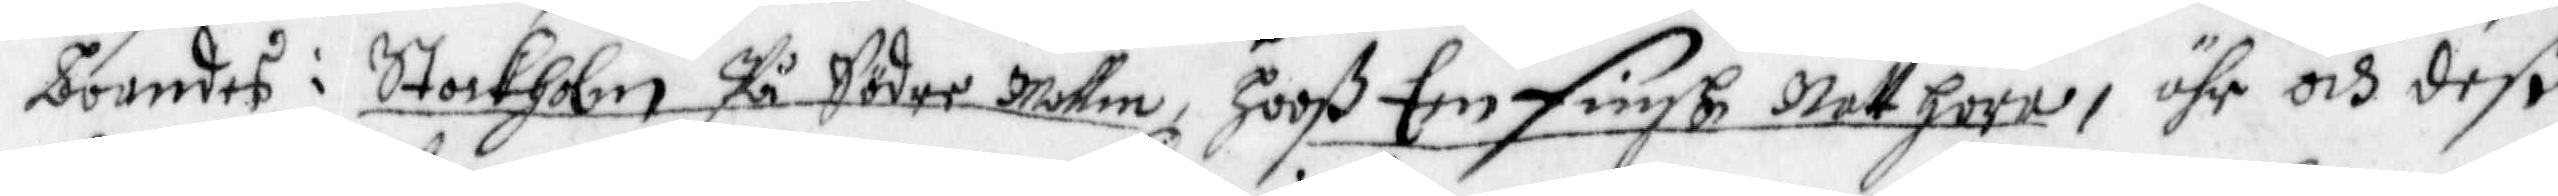boendes i Stockholm på Söder Mallm, Hooß Een finsk Natt hora, ähr och deß
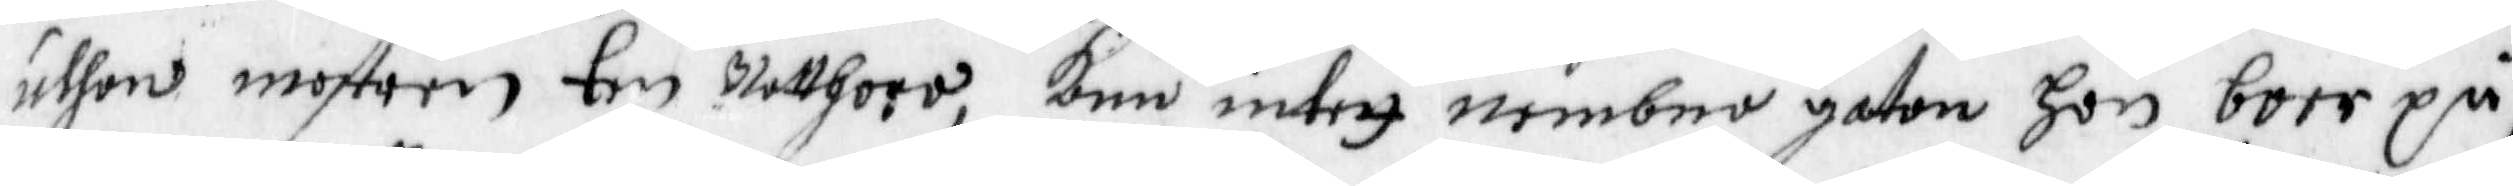uthan mostren Een Natthoro, kann intett nembna gaton hon boer på
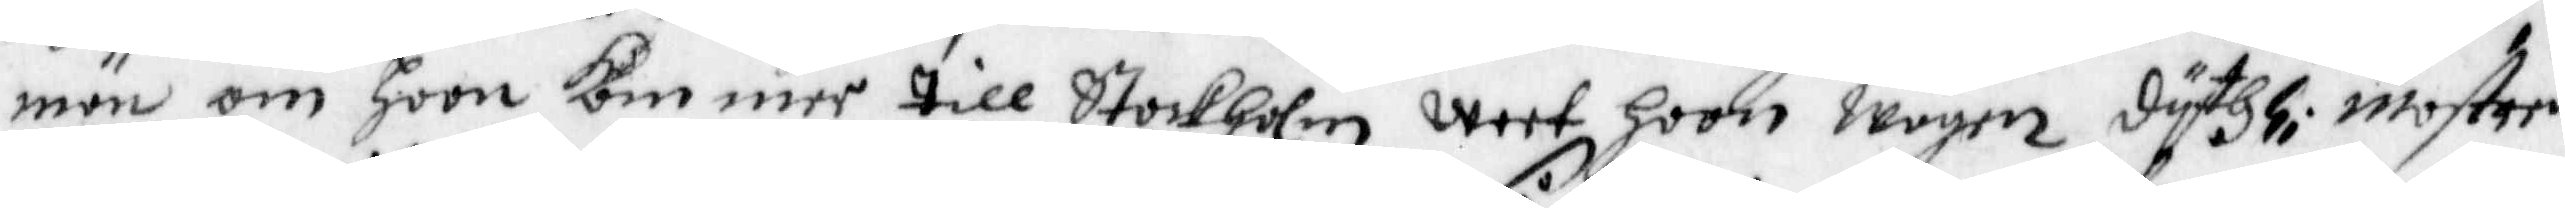män om hoon kommer till Stockholm weet hoon wägen dyth; Mostren
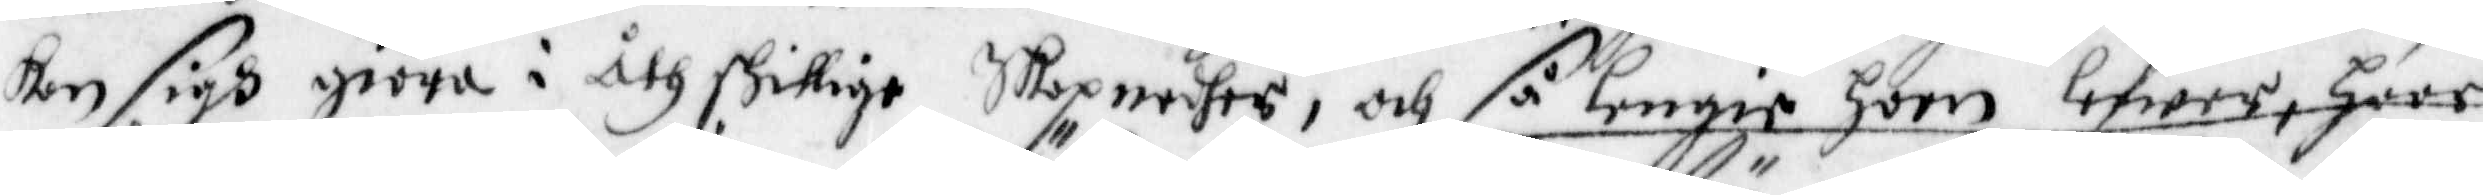kan sigh giöra i åthskillige Skapnedhes, och så lengie hoon lefwer, haar
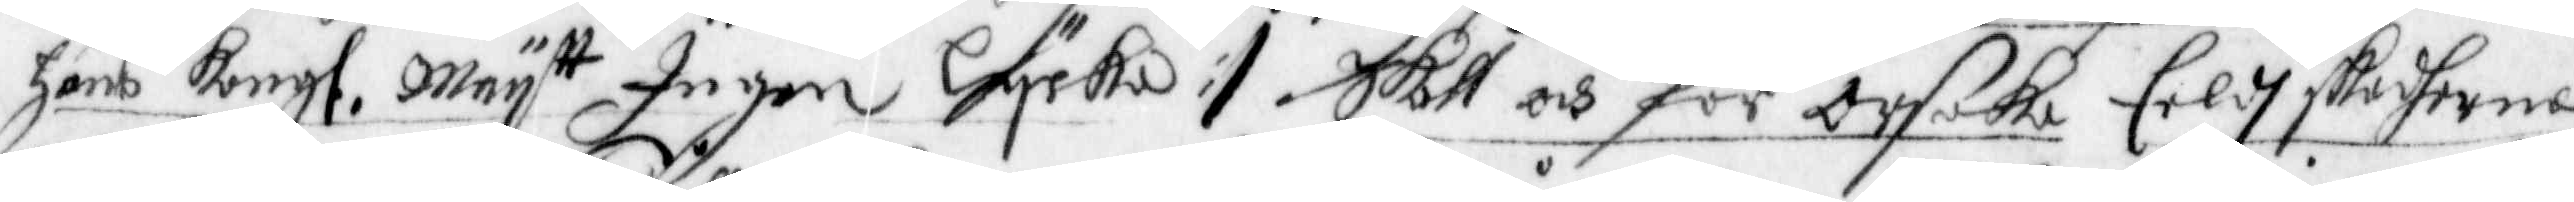hans Kongl. May tt Ingen Lycka :/. Skall och för Orsaka Eeldh skadherna
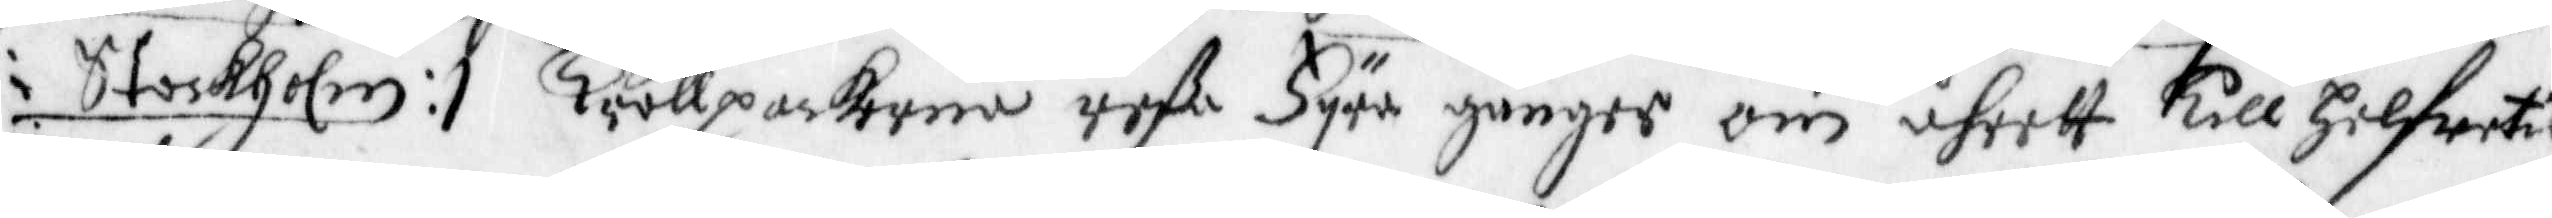i Stockholm :/ Trållpackorna reßa Fyra gånger om åhrett till Helfwetes
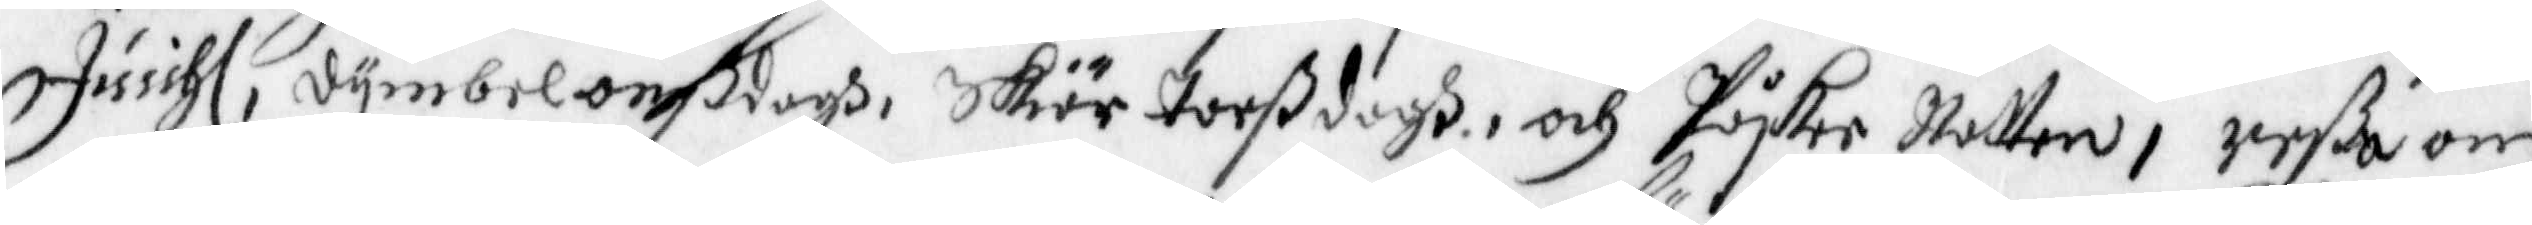Jusshl., Dymbelonßdagh, Skiär Torßdagh, och Påsker Natten, reßa om
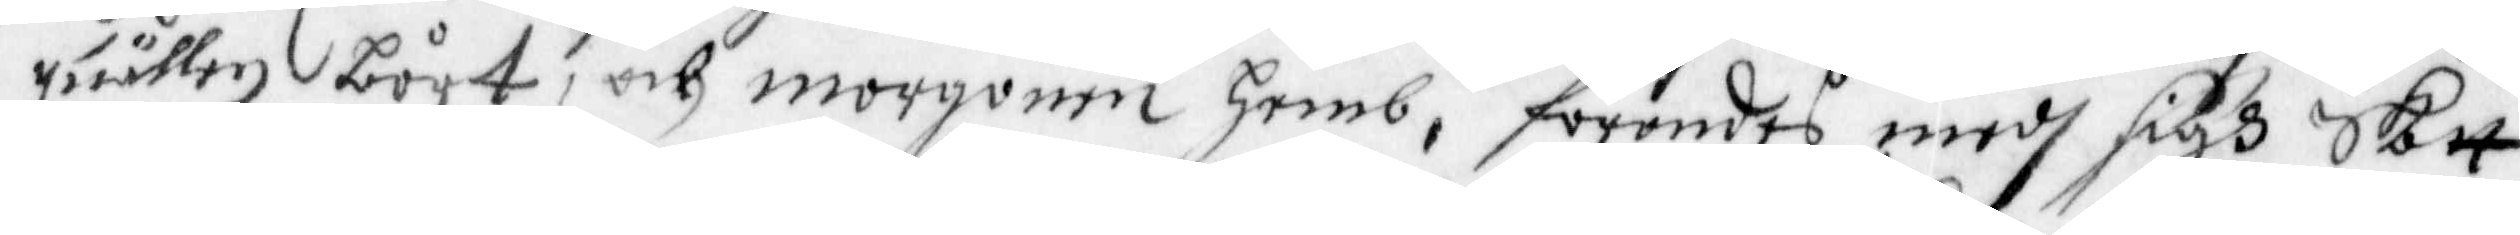qwällen bort, och morgonen hemb, förandes medh sigh Skatt
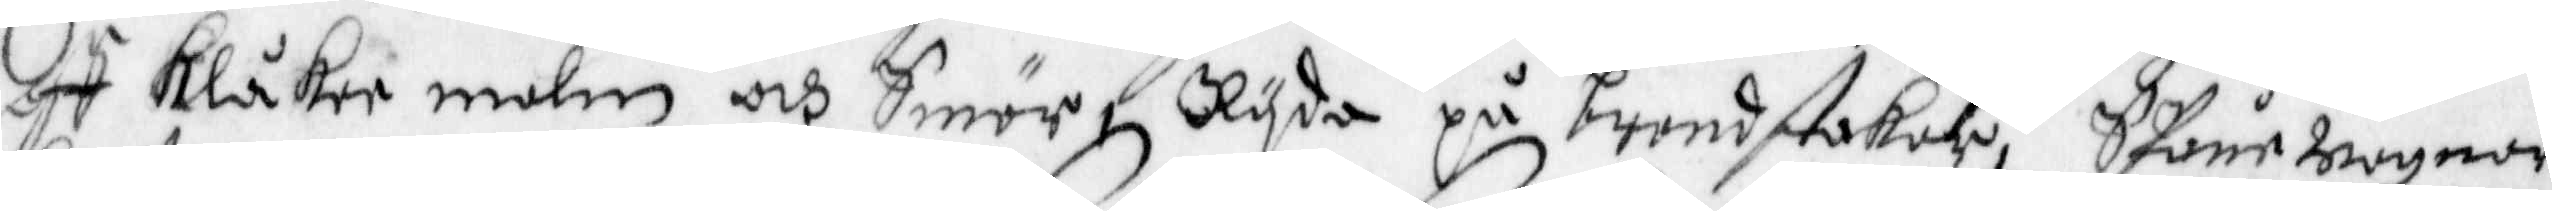af Klåker malm och Smör, Ryda på brendstakar, SPåne wagnar,
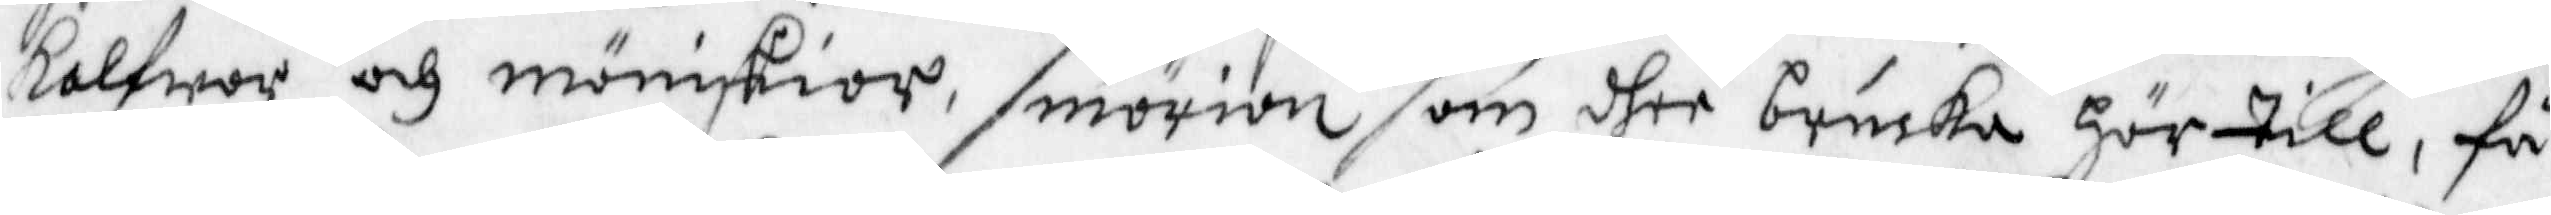kalfwar och mäniskior, smörian som dher brucka hör till, få
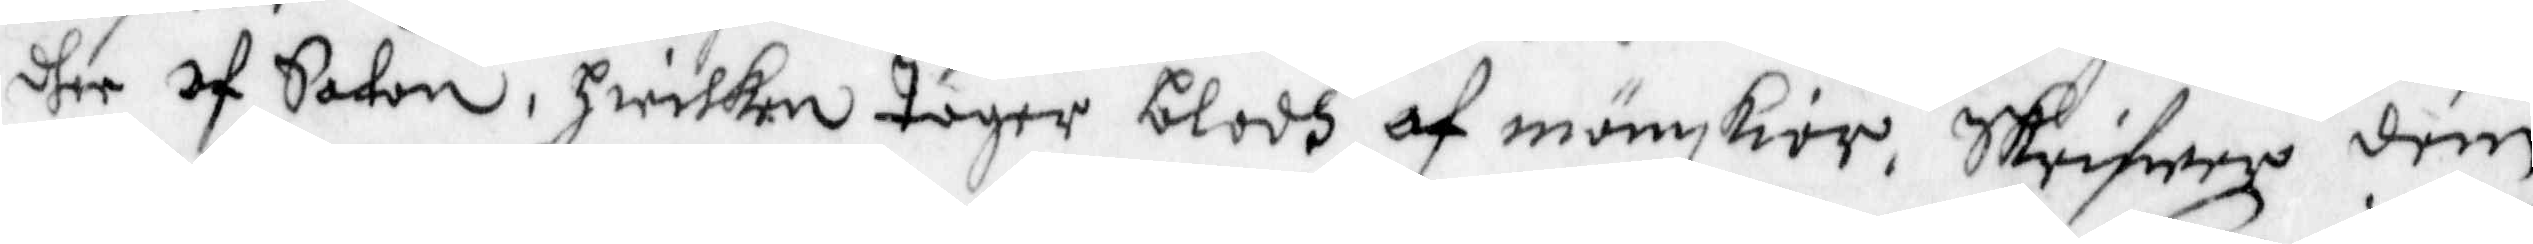dhe af Satan, Hwilken Tager blodh af mänskior, Skrifwer dem
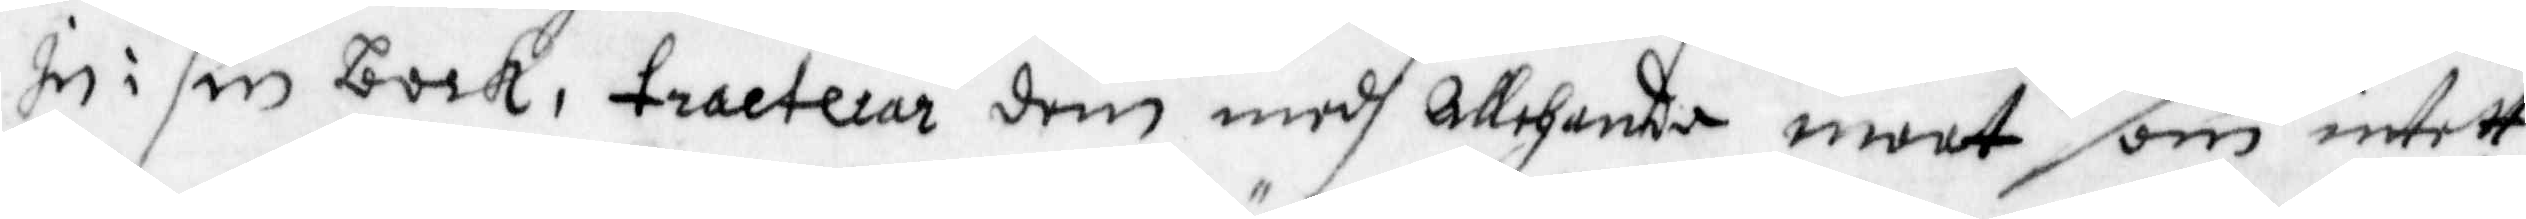in i sin bock, tracterar dem medh allehanda maat, som intett
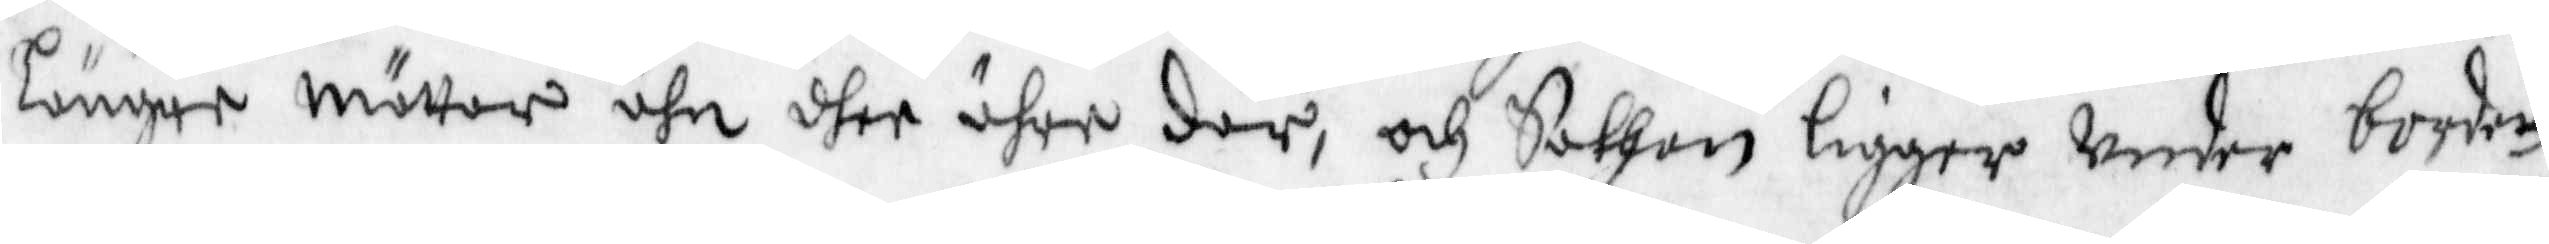längre mätter ähn dher ähre där, och Sathan ligger Under bordet
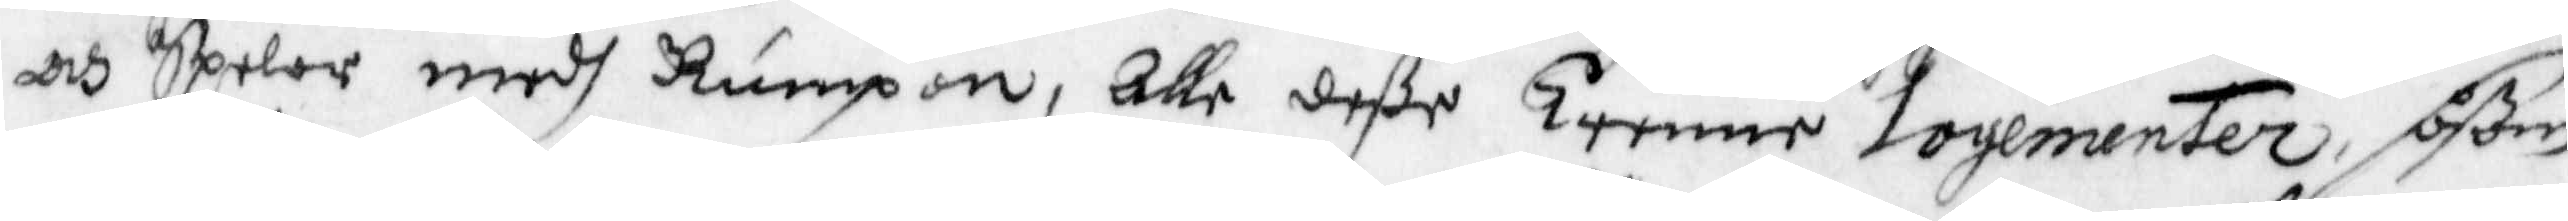och Spelar medh Rumpan, Alle deße Trenne Logementer, såsom
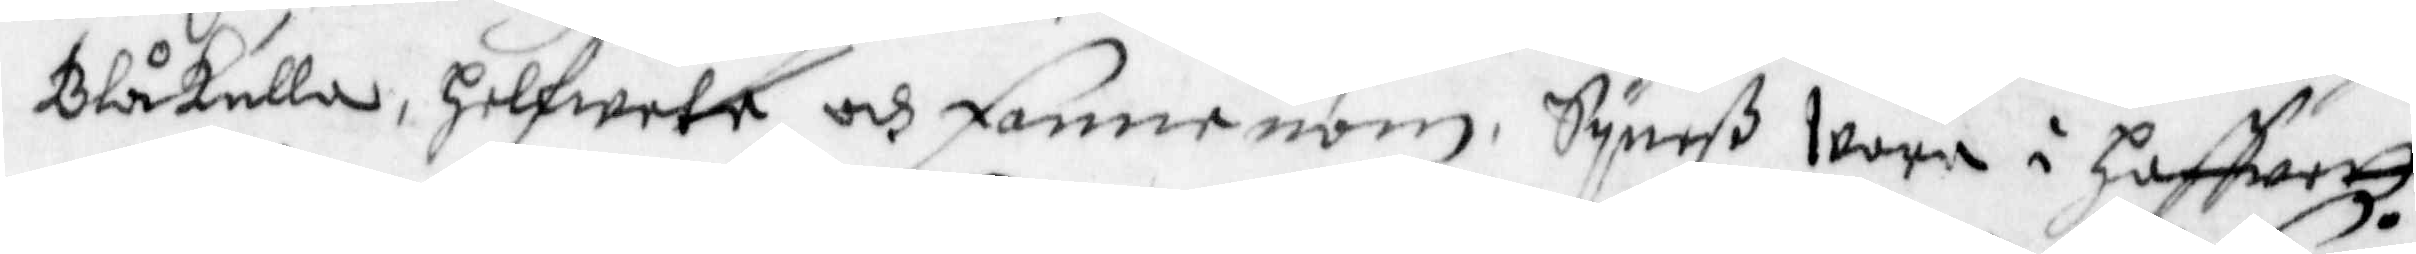Blåkulla, Helwete och fannenom, Syneß wara i haffwett,
